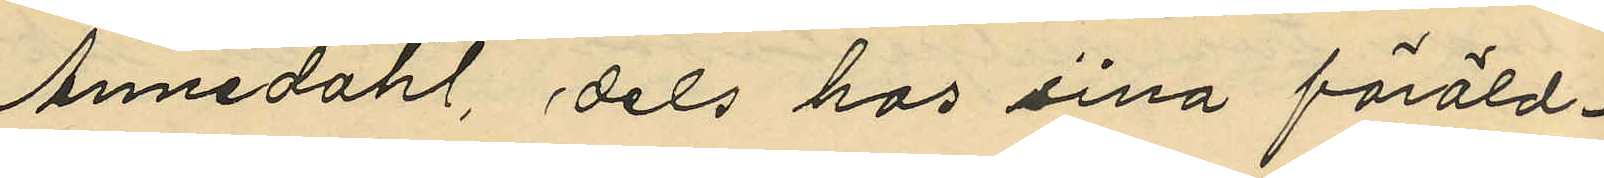Annedahl, dels hos sina föräld¬
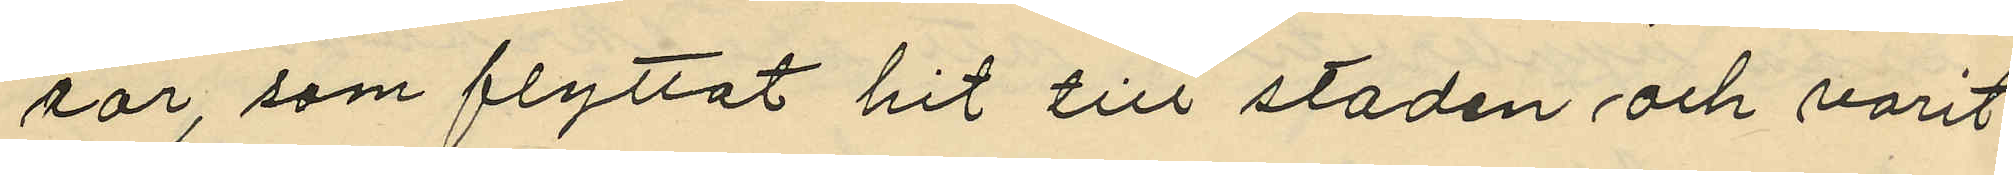rar, som flyttat hit till staden och varit
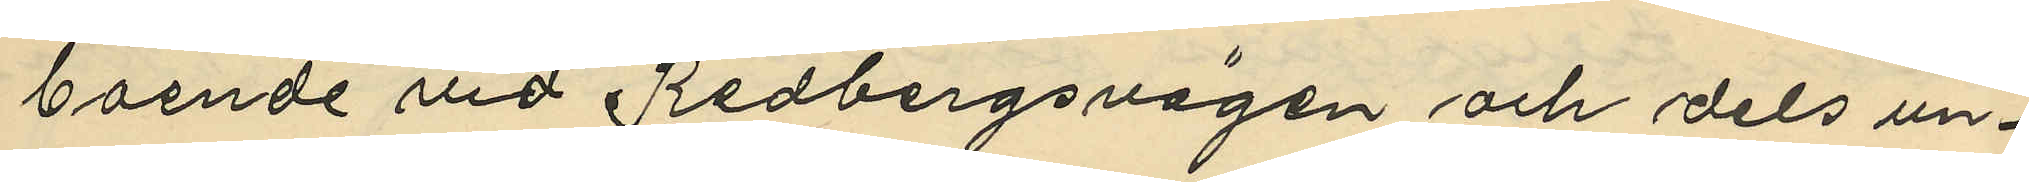boende vid Redbergsvägen och dels un¬
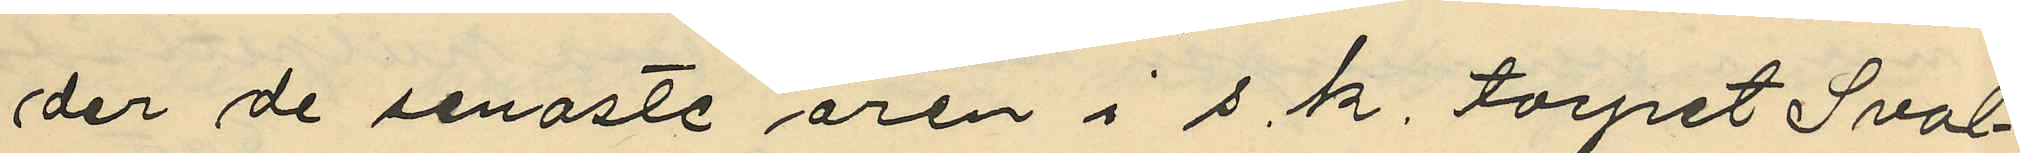der de senaste åren i s.k. torpet Sval¬
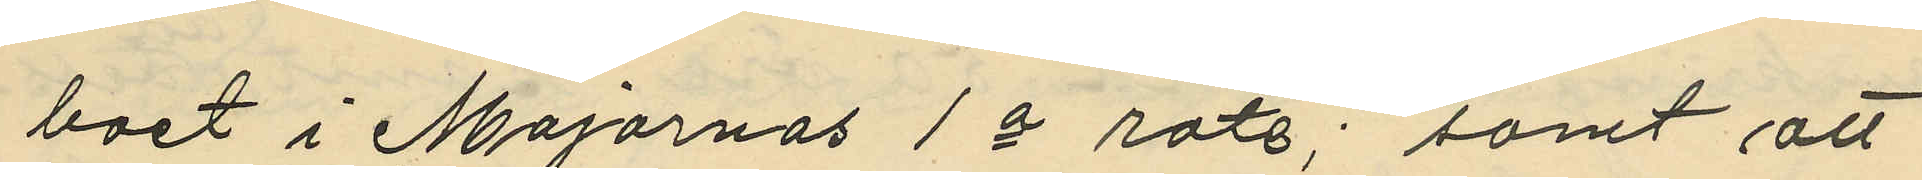boet i Majornas 1a rote; samt att
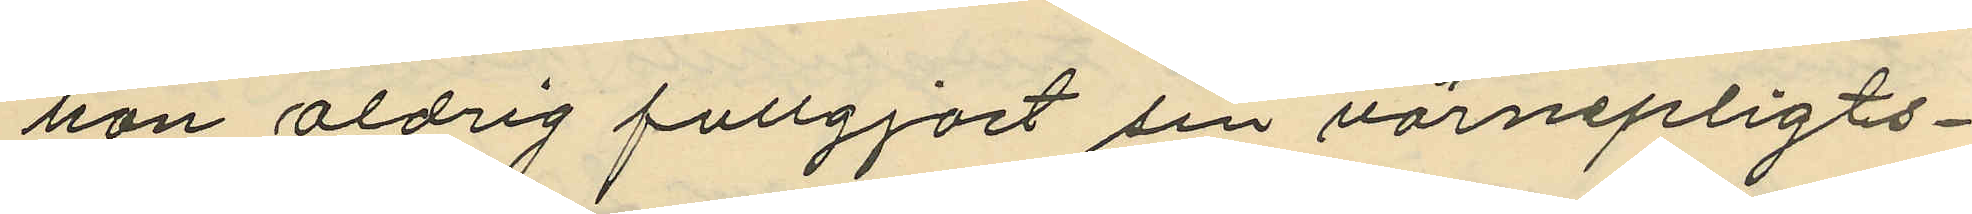han aldrig fullgjort sin värnepligts¬
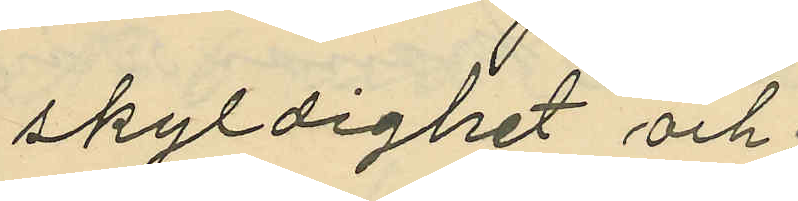skyldighet och;
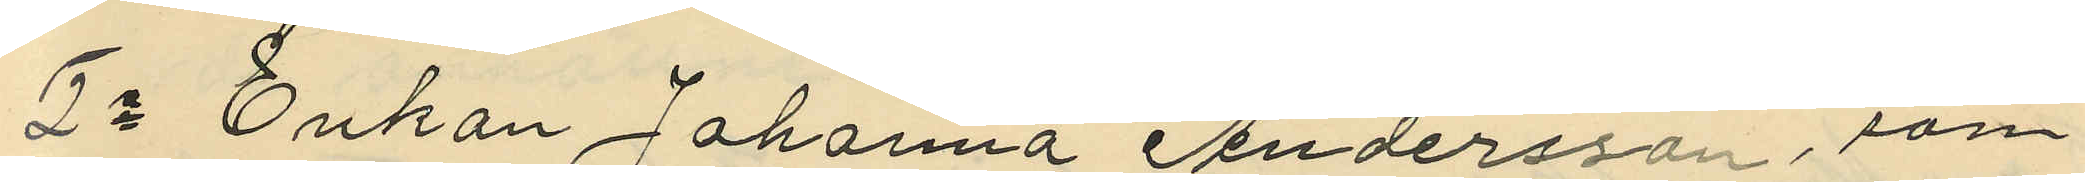7o Enkan Johanna Andersson, som
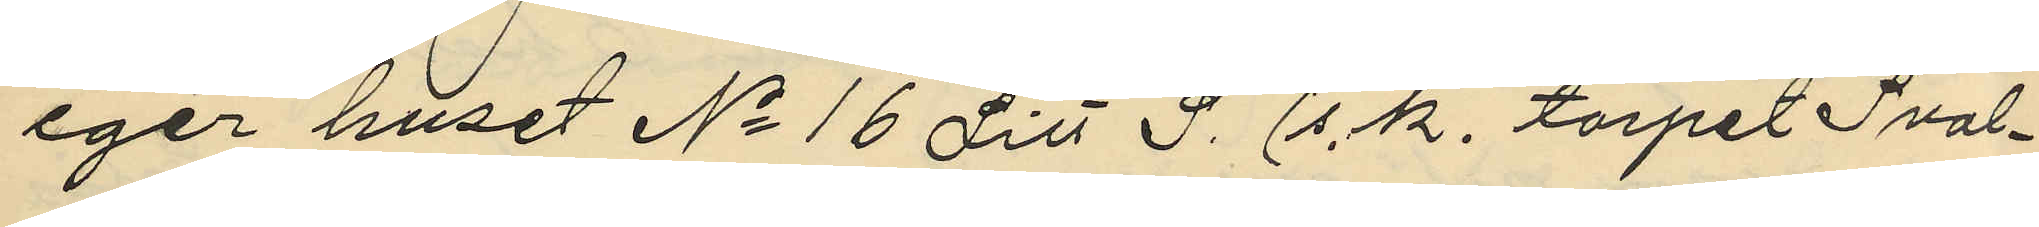eger huset No 16 Litt S. (s. k. torpet Sval¬
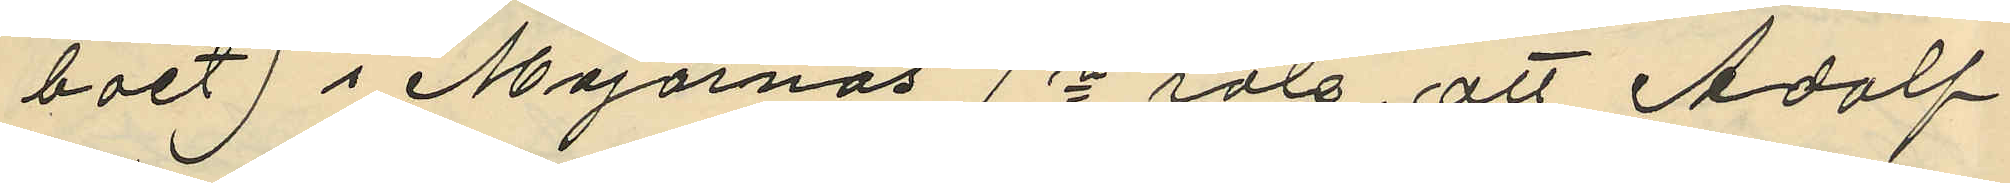boet) i Majornas 1a rote, att Adolf
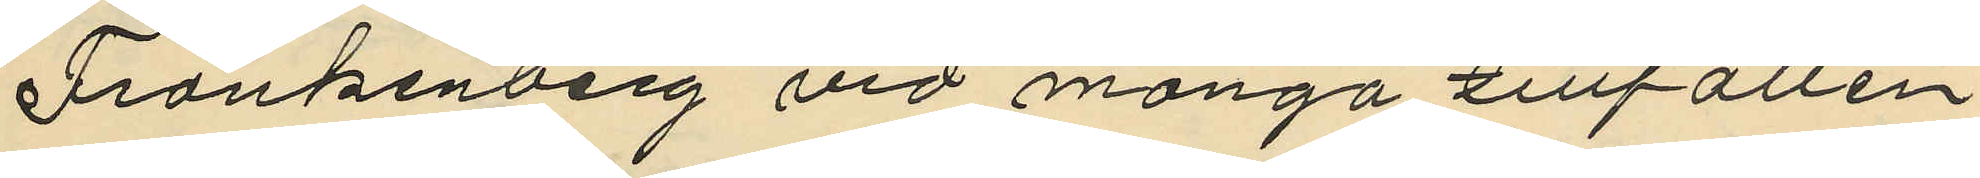Frankenberg vid många tillfällen
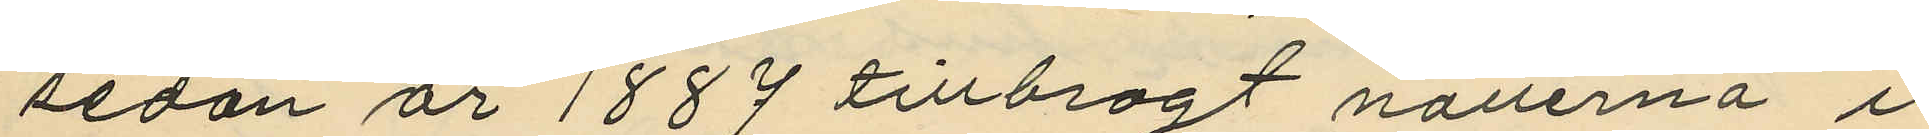sedan år 1889 tillbragt nätterna i
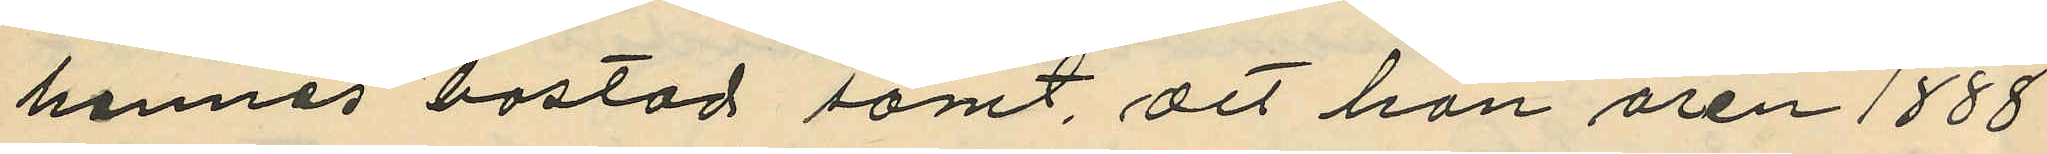hennes bostad samt, att han åren 1888
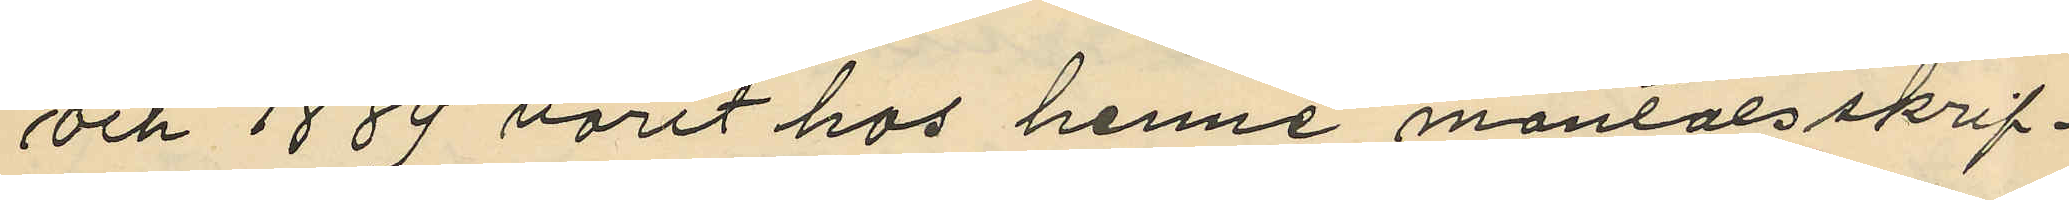och 1889 varit hos henne mantalsskrif¬
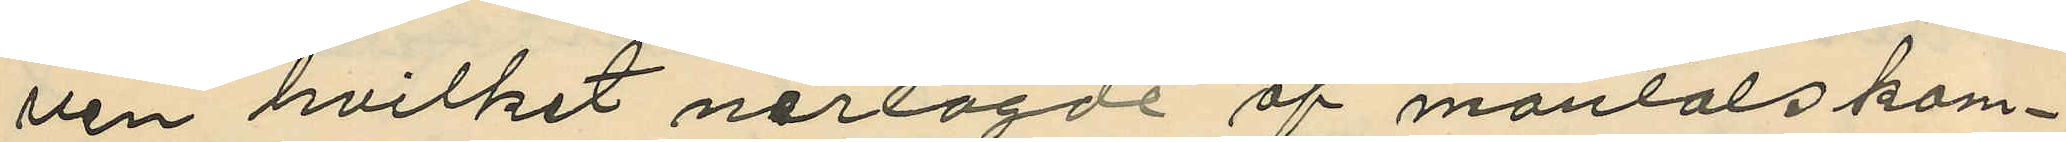ven hvilket närlagde af mantalskom¬
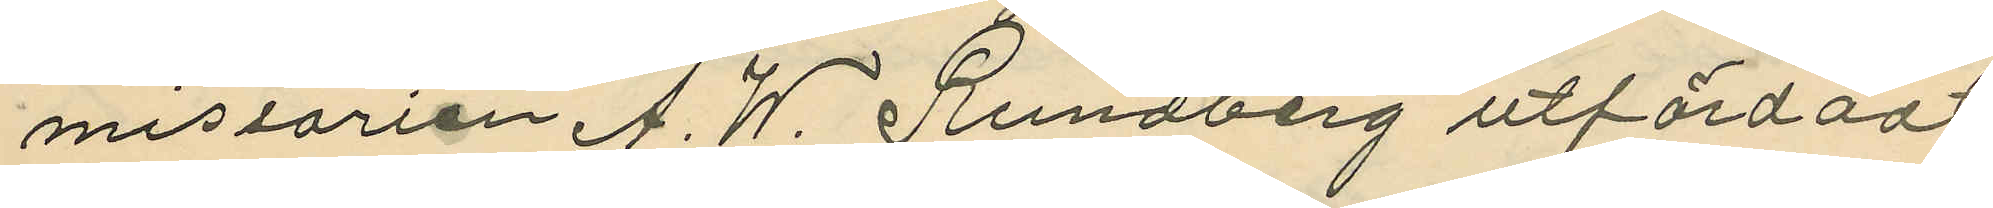missarien A. W. Rundberg utfärdadt
